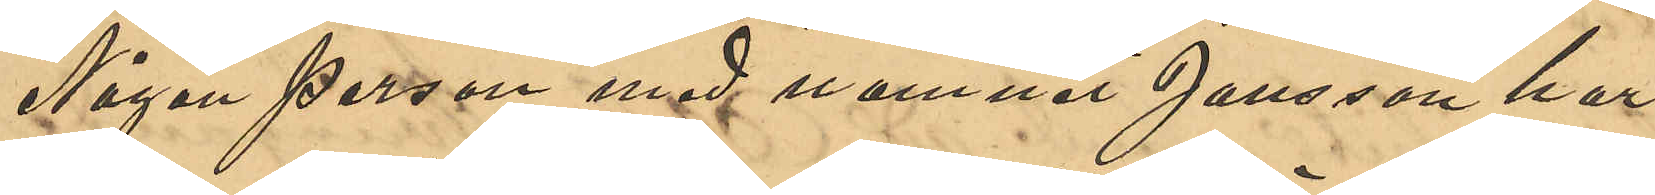Någon person med namnet Jansson har
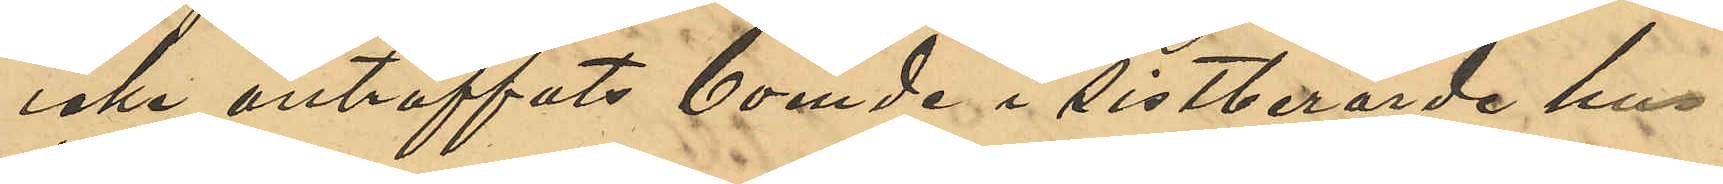icke anträffats boende i sistnämnde hus.
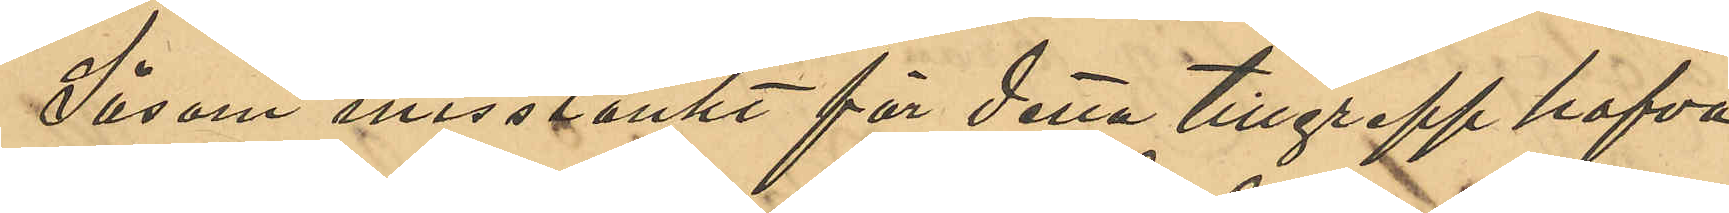Såsom misstänkt för detta tillgrepp hafva
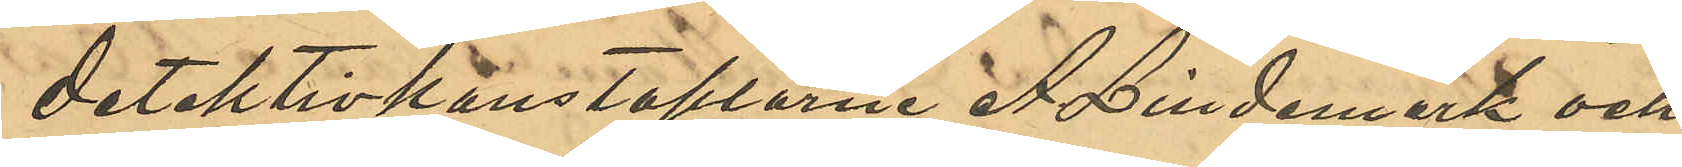detektivkonstaplarne A. Lindmark och
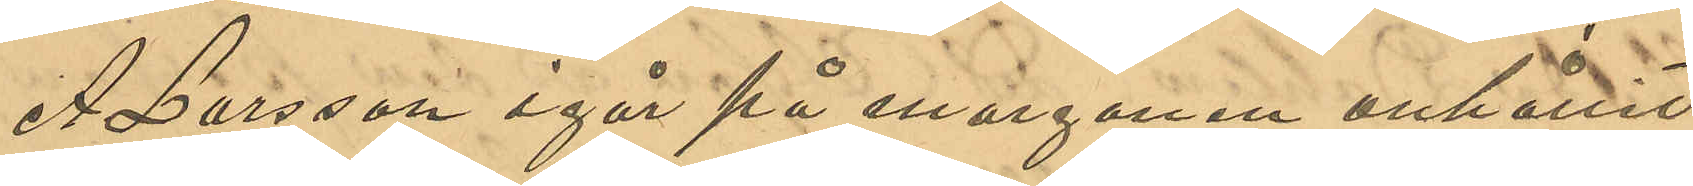A. Larsson igår på morgonen anhållit
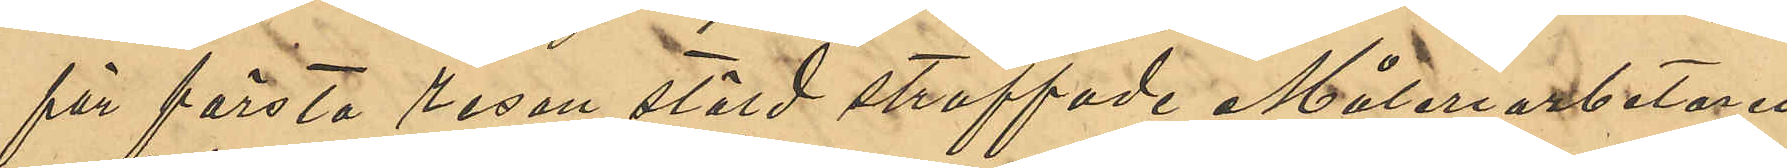för första resan stöld straffade Måleriarbetaren
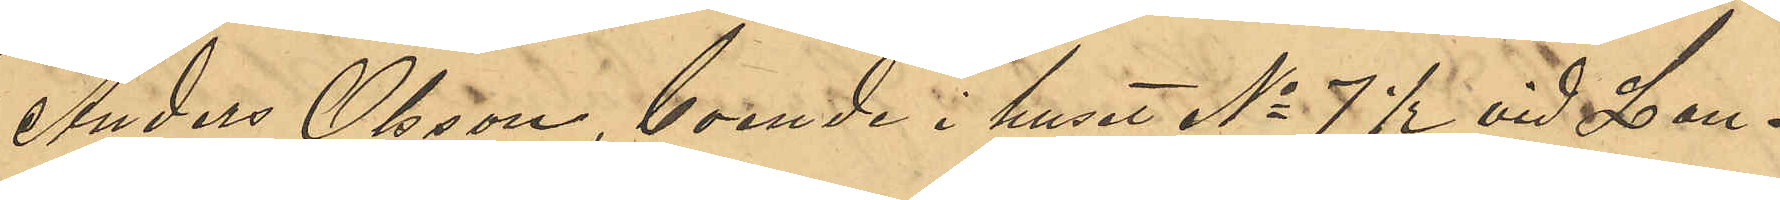Anders Olsson, boende i huset No 7 ½ vid Lan¬
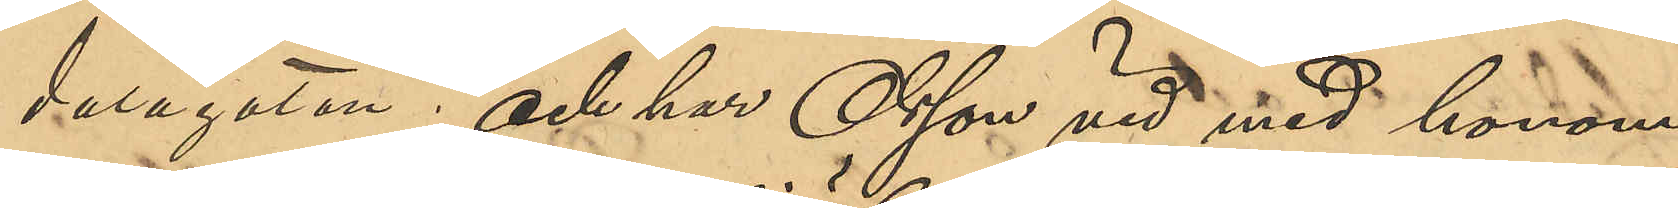dalagatan; och har Olsson vid med honom
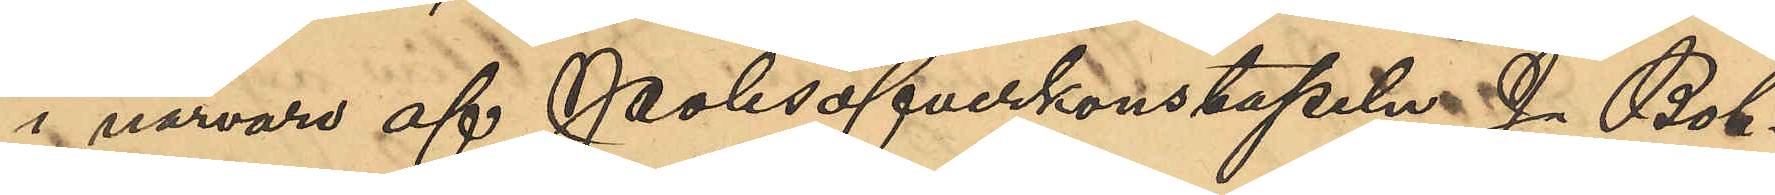i närvaro af Polisöfverkonstapeln J. Boh¬
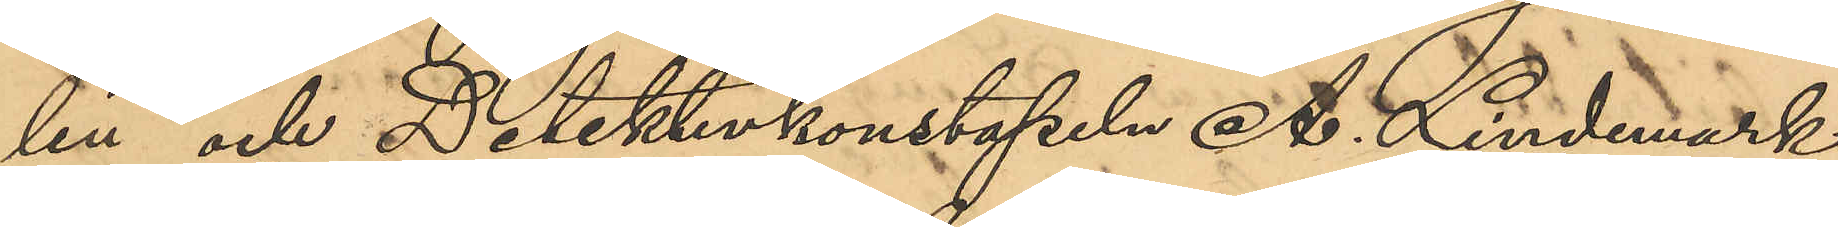lin och Detektivkonstapeln A. Lindmark
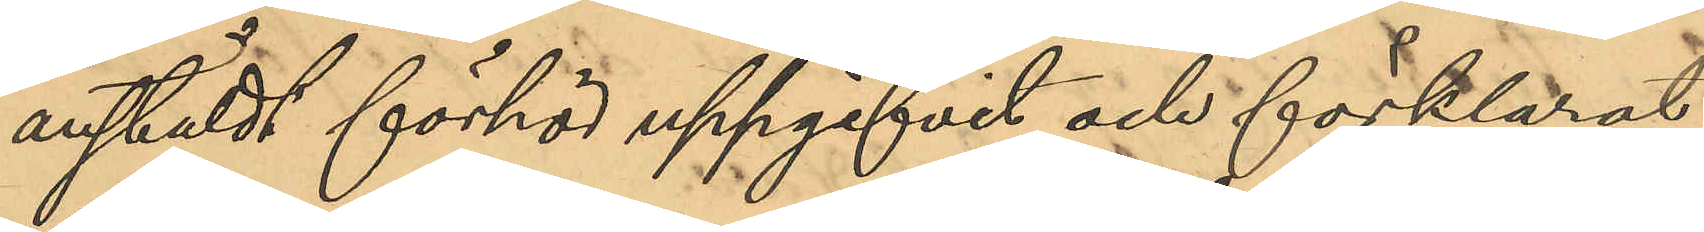anstäldt förhör uppgifvit och förklarat:
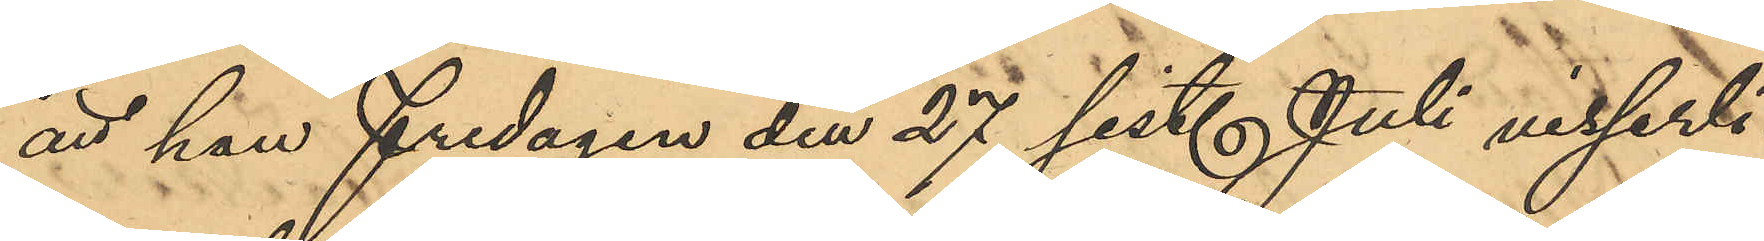att han Fredagen den 27 sist. Juli visserli¬
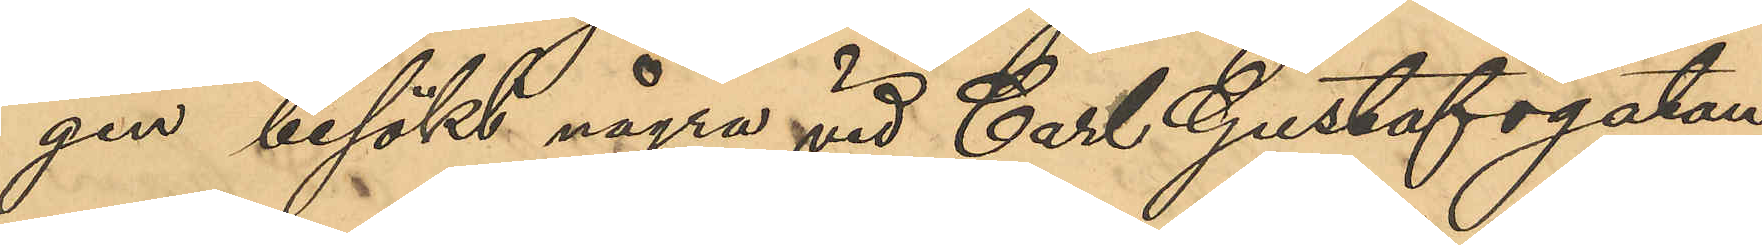gen besökt några vid Carl Gustafsgatan
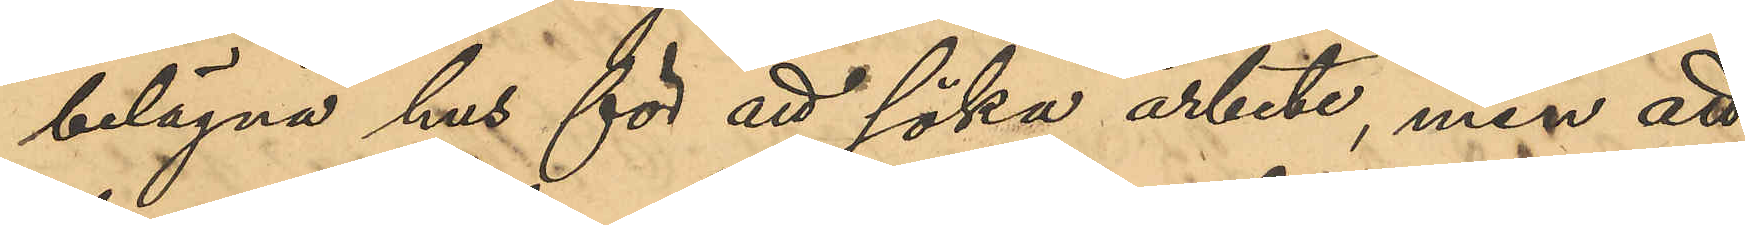belägna hus för att söka arbete, men att
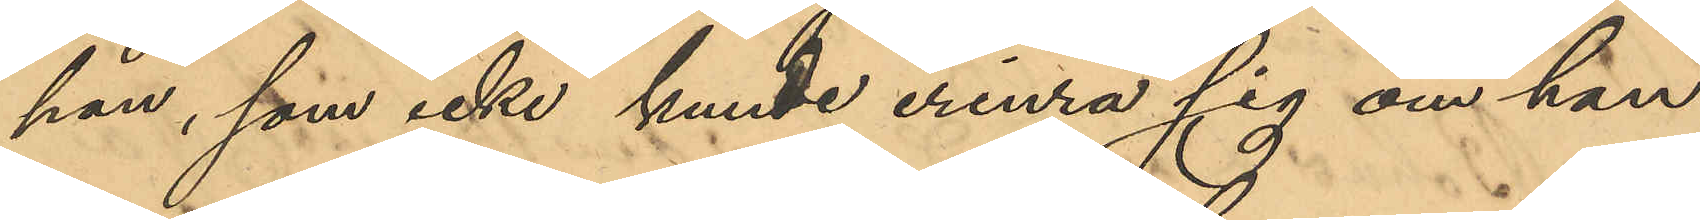han, som icke kunde erinra sig om han
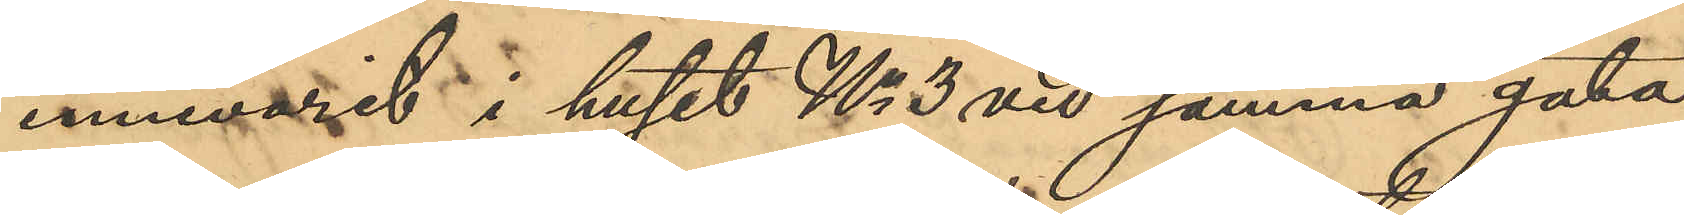innevarit i huset No 3 vid samma gata,
